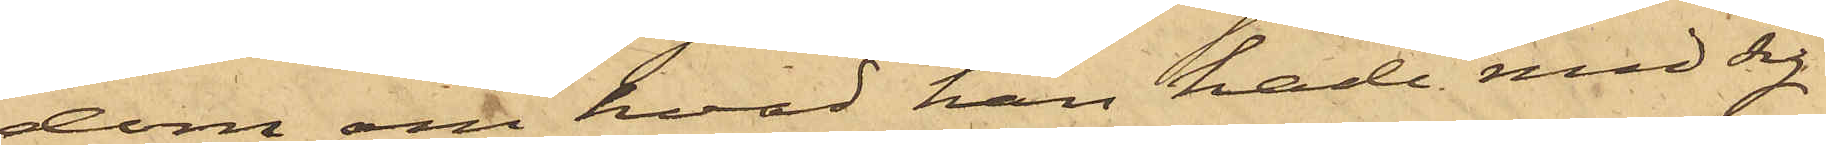dom om hvad han hade med sig
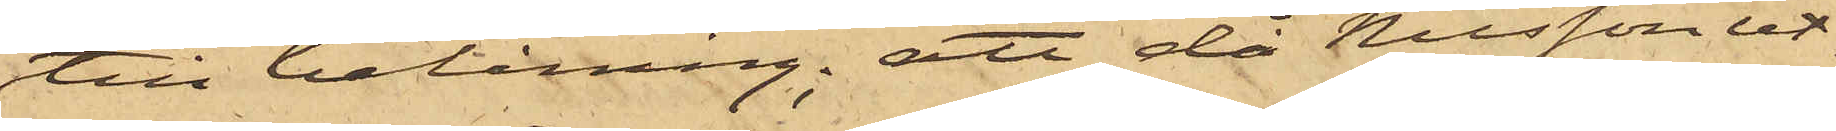till belåning; att då Nilsson ut¬
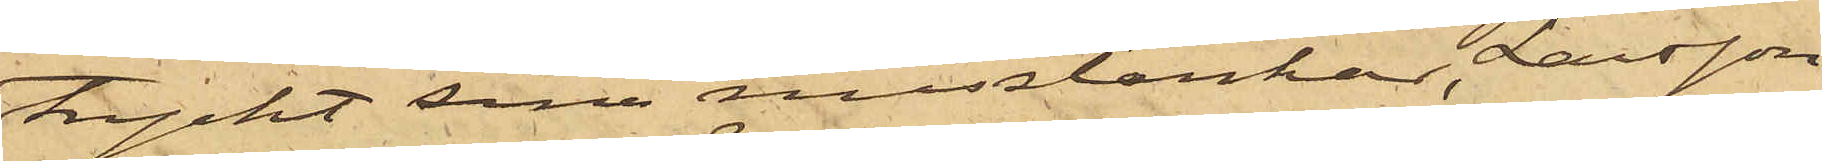tryckt sina misstankar, Larsson
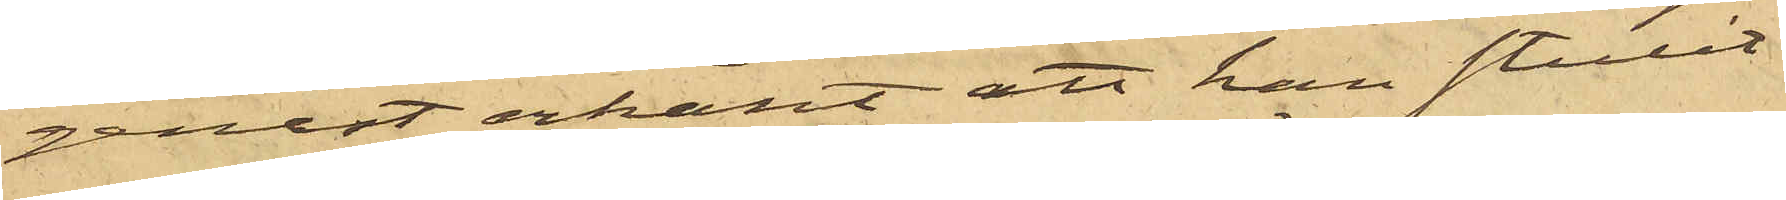genast erkänt att han stulit
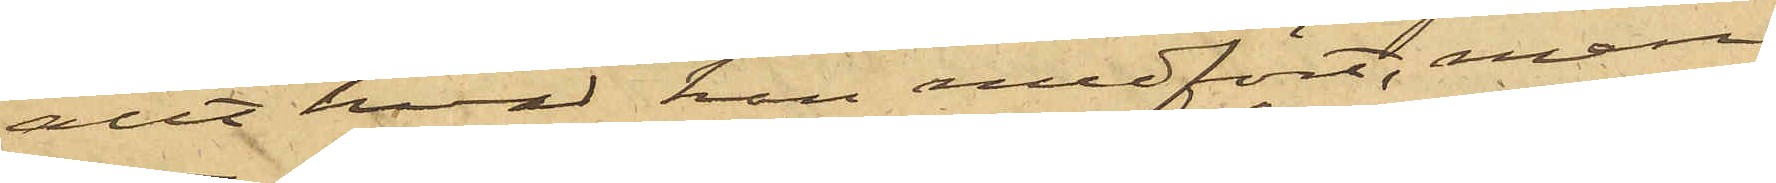allt hvad hon medfört, men
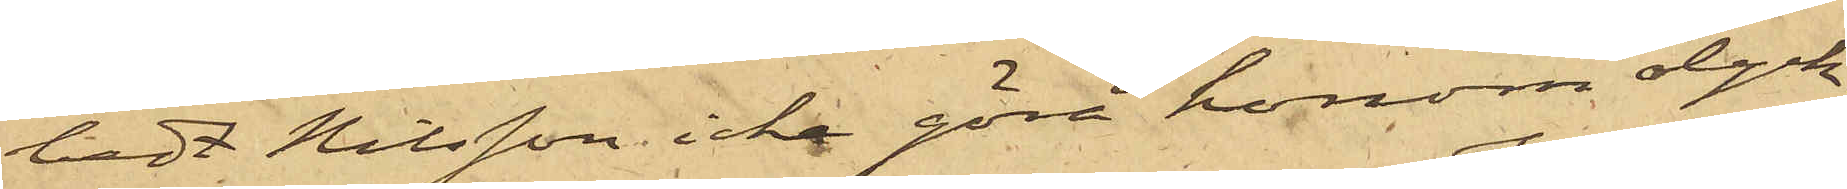bedt Nilsson icke göra honom olyck¬
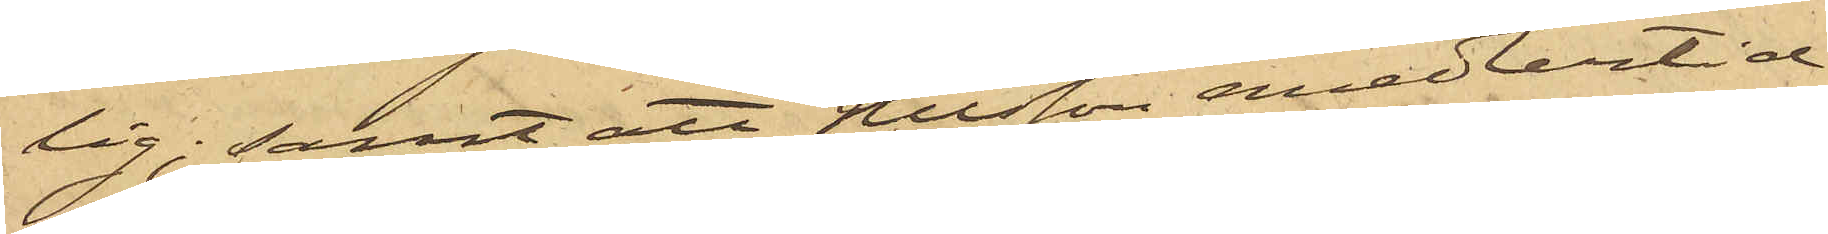lig; samt att Nilsson emedlertid
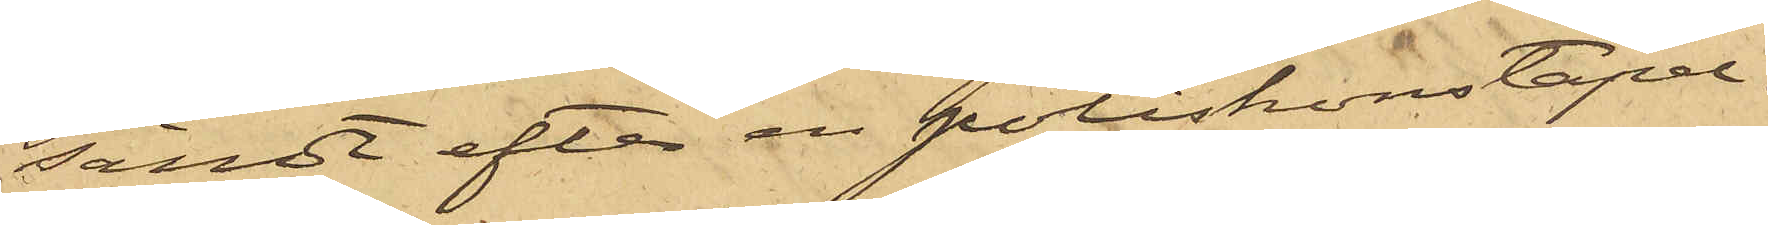sändt efter en poliskonstapel.
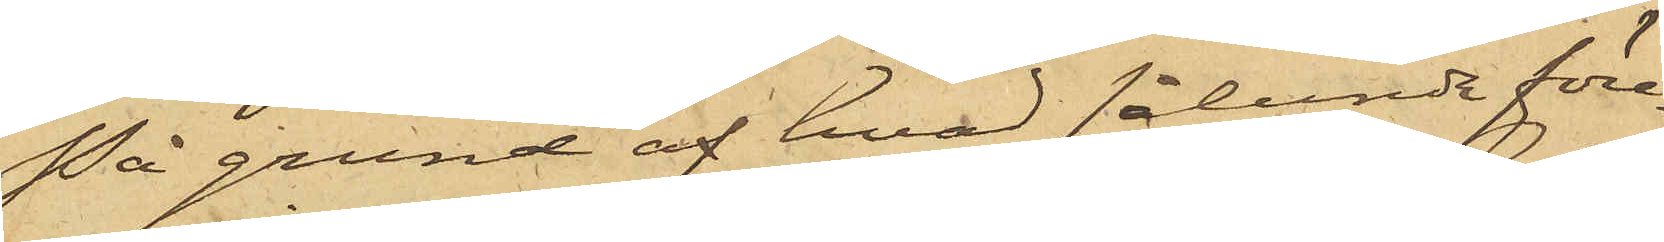På grund af hvad sålunda före¬
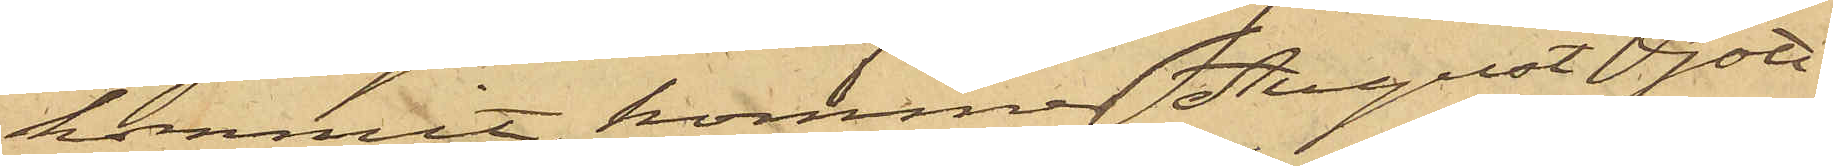kommit, kommer August Gott¬
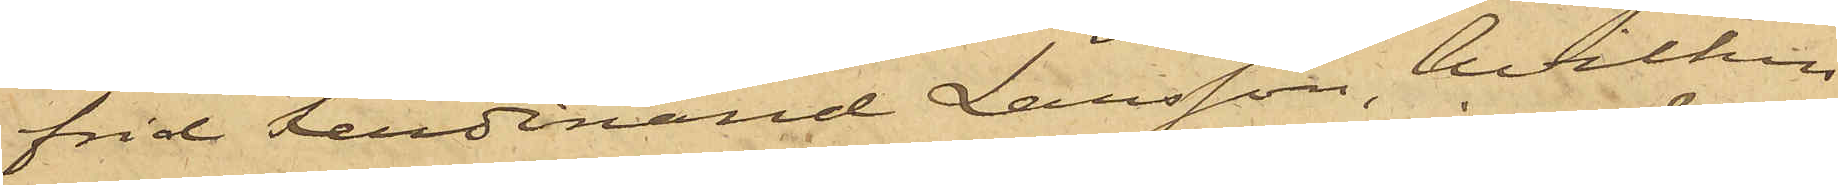frid Ferdinand Larsson, hvilken
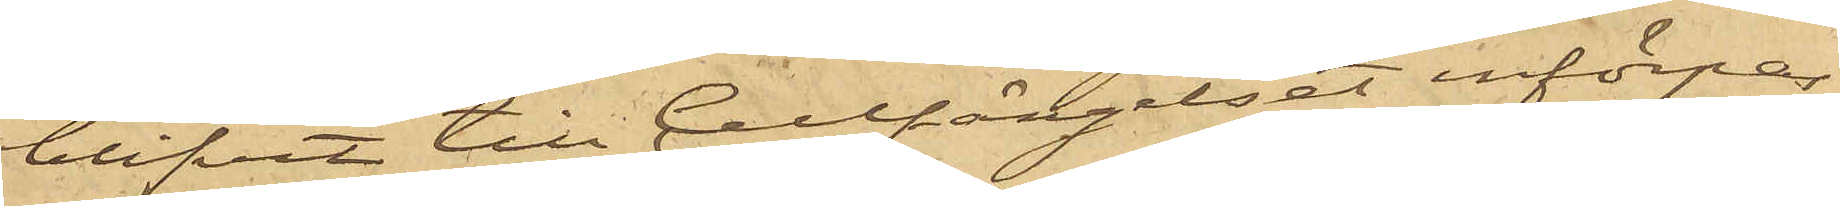blifvit till Cellfängelset införpas¬
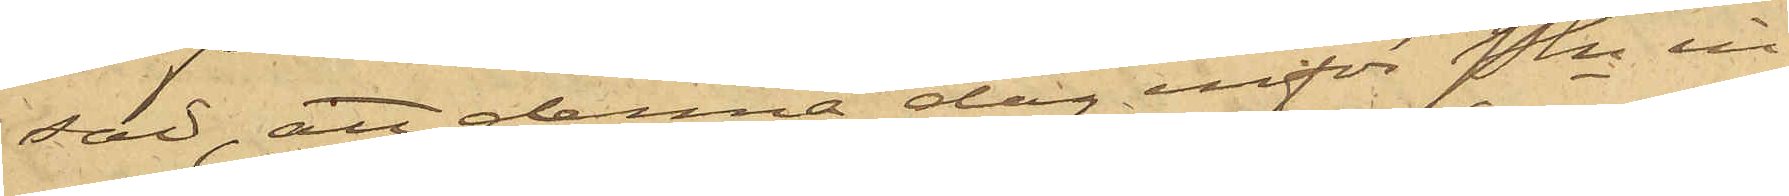sad, att denna dag inför Pkn in¬
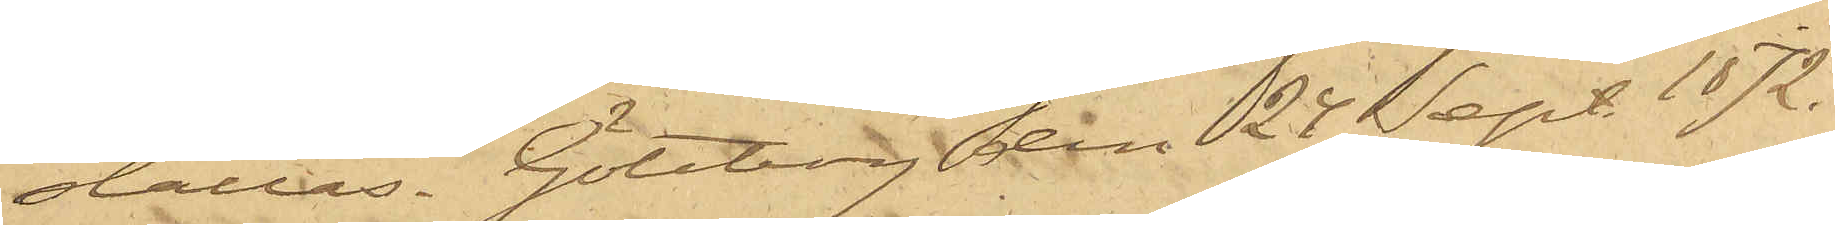ställas. Göteborg den 24 Sept. 1872.
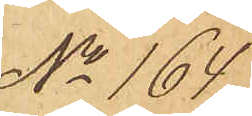No 164
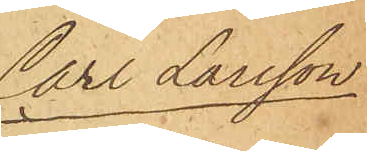Carl Larsson
